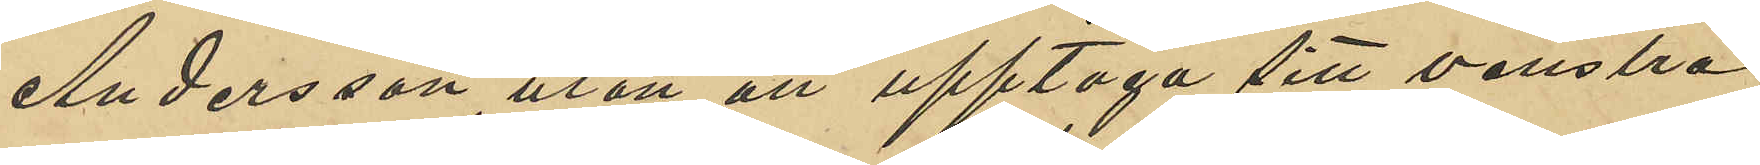Andersson, utan att upptaga sitt venstra
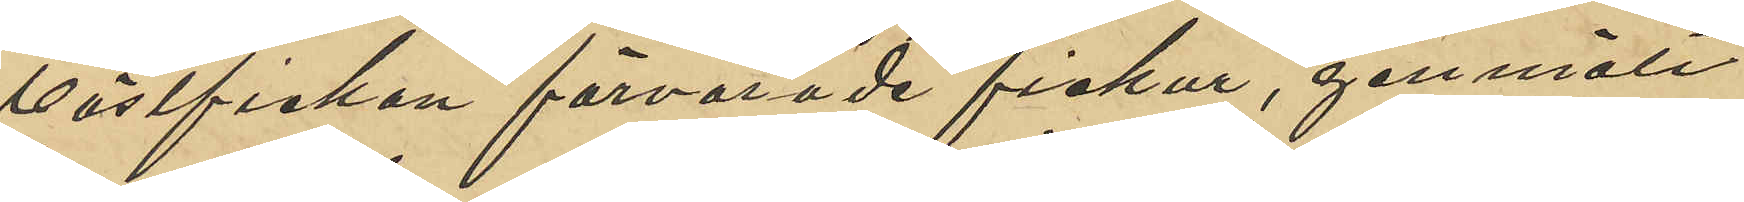västfickan förvarade fickur, genmält
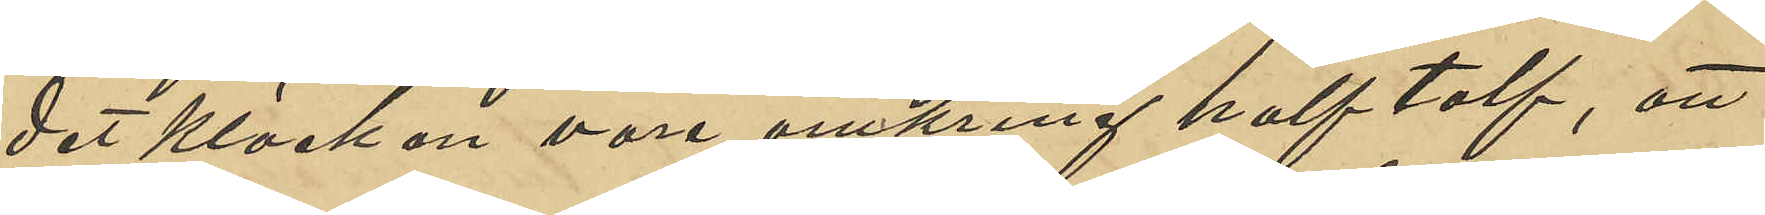det klockan vore omkring half tolf, att
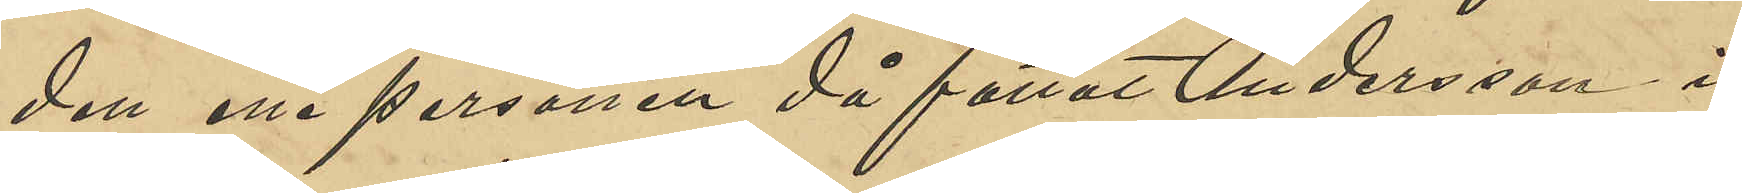den ena personen då fattat Andersson i
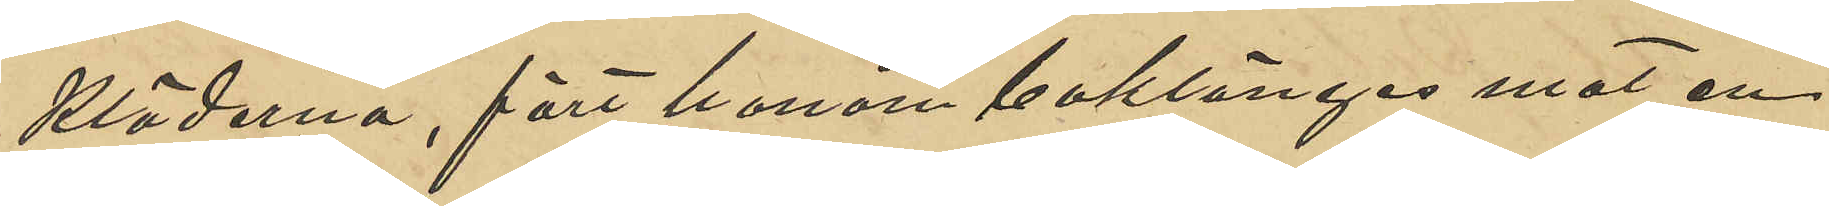kläderna, fört honom baklänges mot en
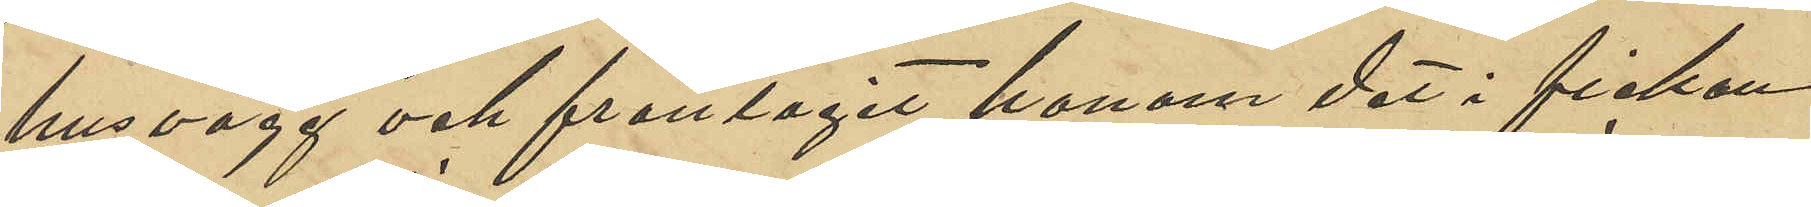husvägg och fråntagit honom det i fickan
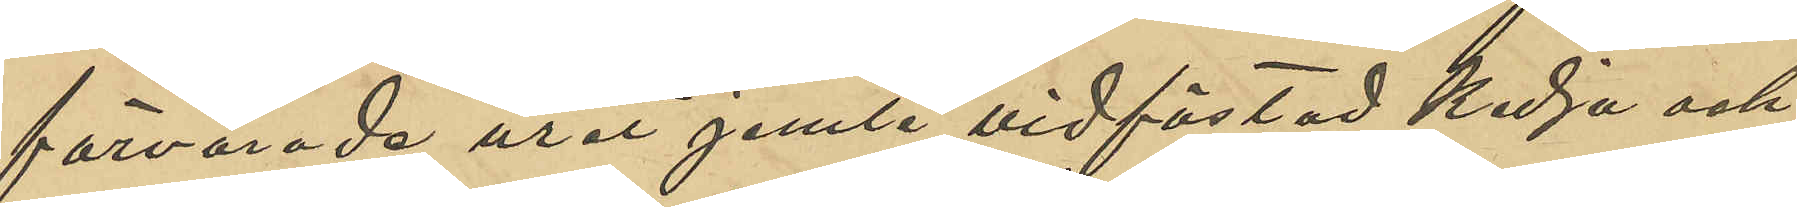förvarade uret jemte vidfästad kedja och
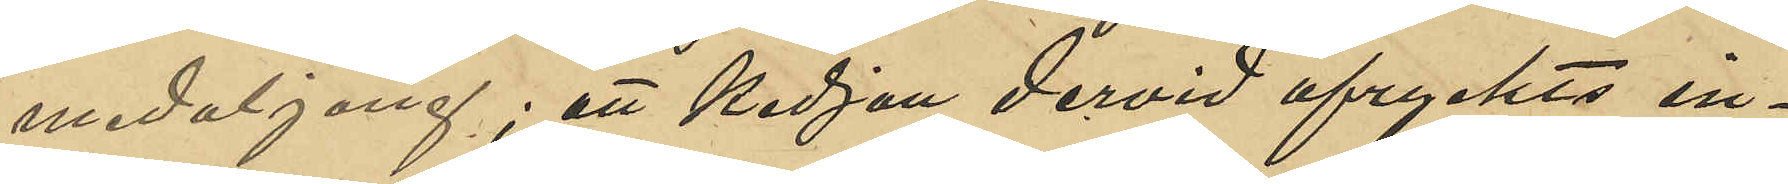medaljong; att kedjan dervid afryckts in¬
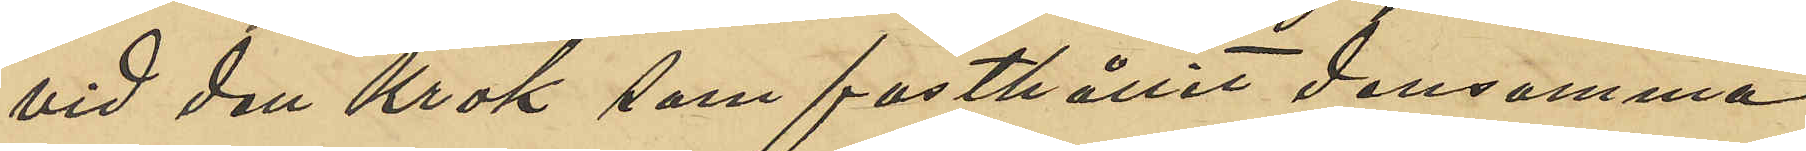vid den krok som fasthållit densamma
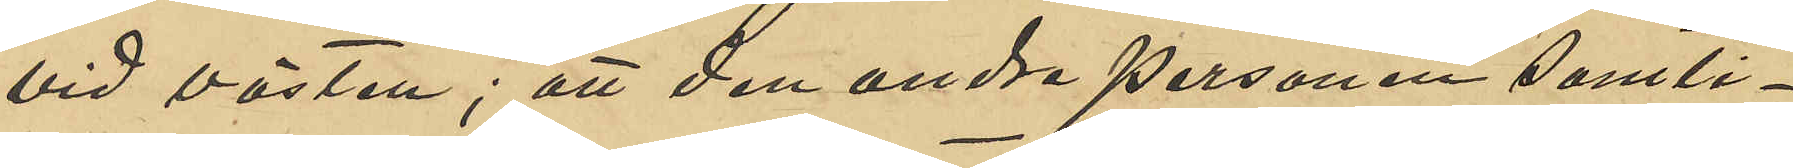vid västen; att den andre personen samti¬
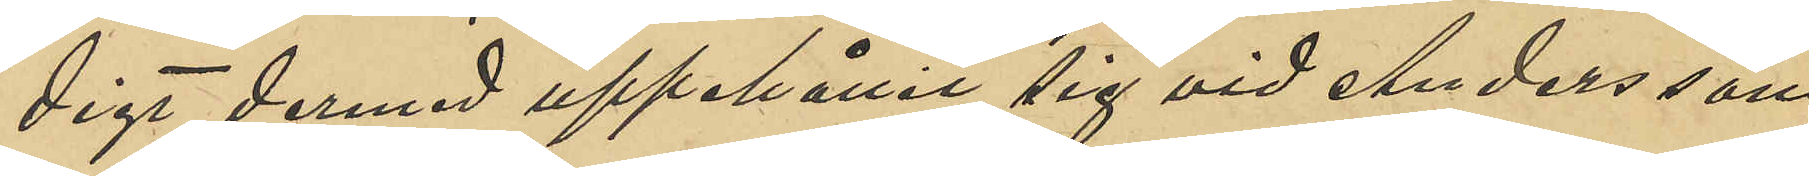digt dermed uppehållit sig vid Anderssons
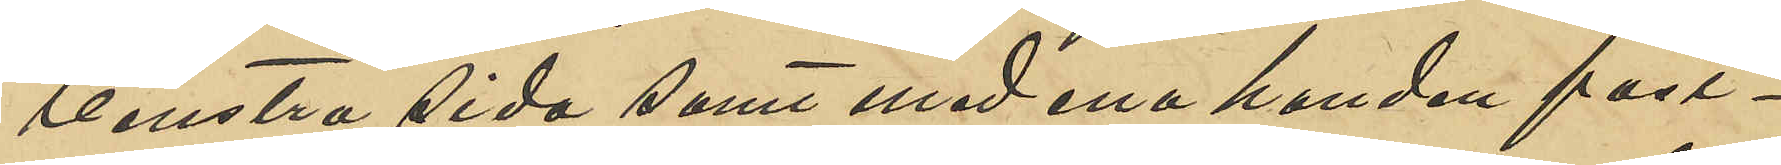venstra sida samt med ena handen fast¬
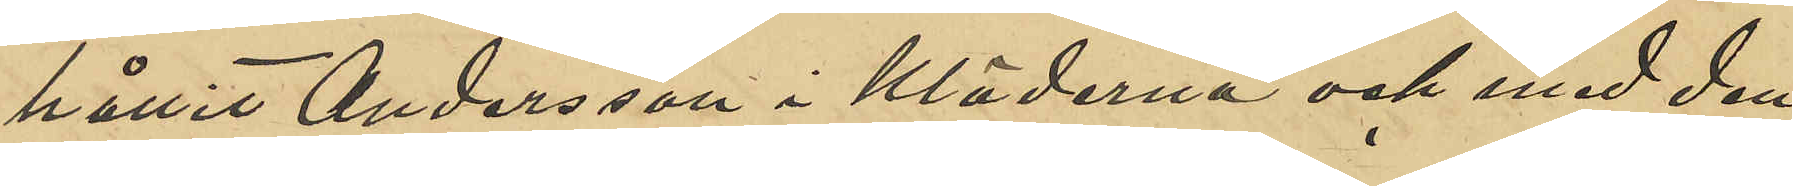hållit Andersson i kläderna och med den
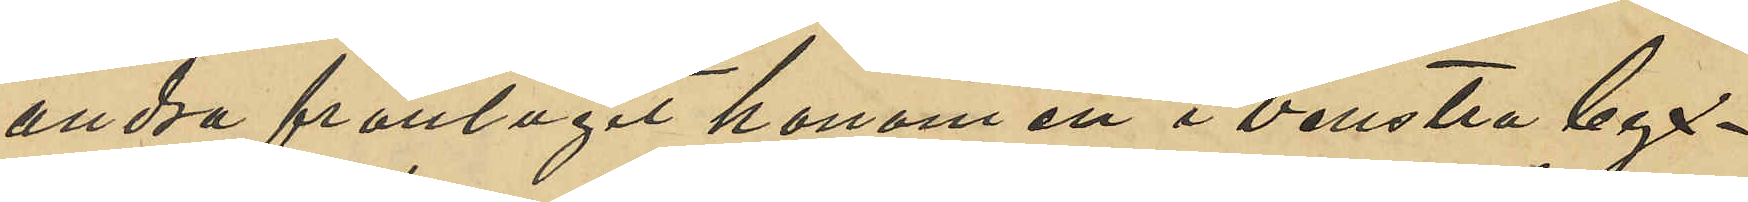andra fråntagit honom i venstra byx¬
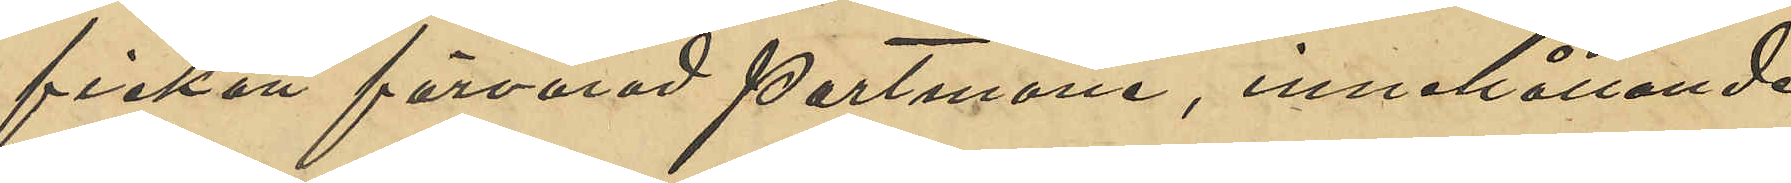fickan förvarad portmone, innehållande
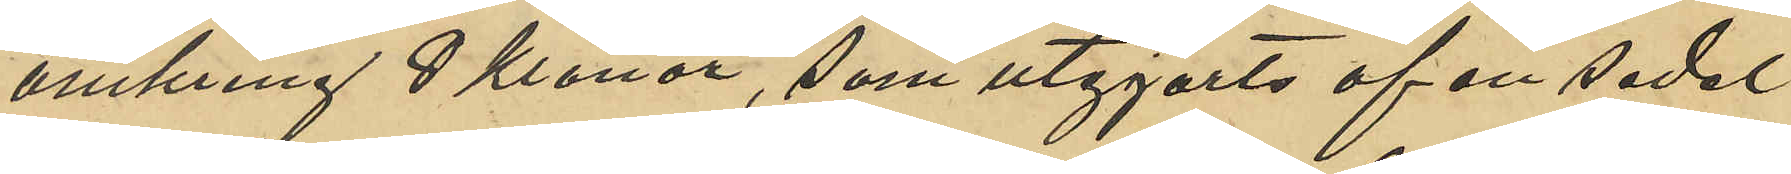omkring 8 Kronor, som utgjorts af en sedel
